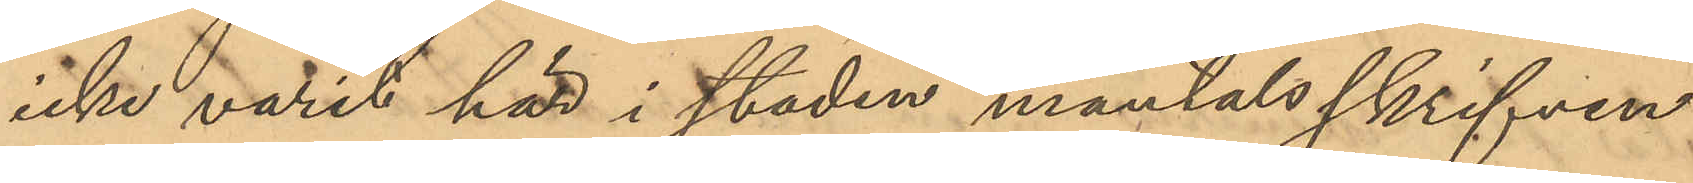icke varit här i staden mantalsskrifven.
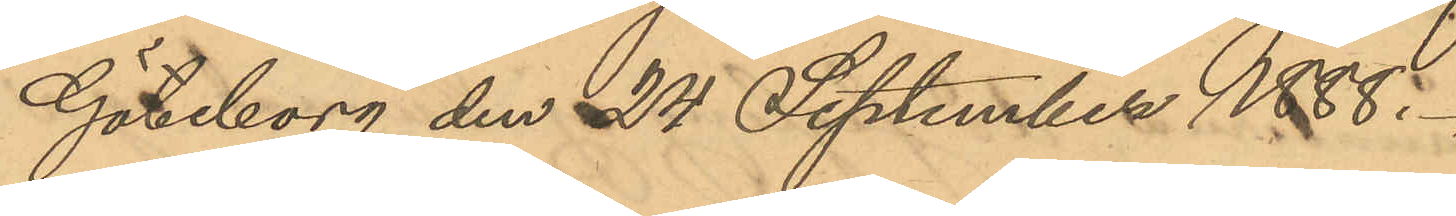Göteborg den 24 September 1888.
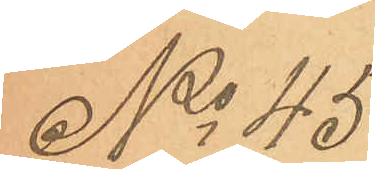No 45
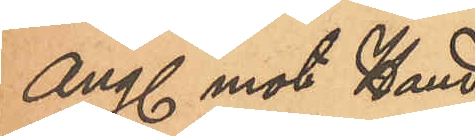Ang. mot Hand¬
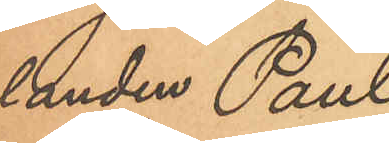landen Paul
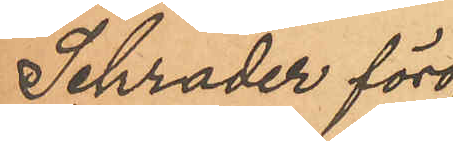Schrader föröf¬
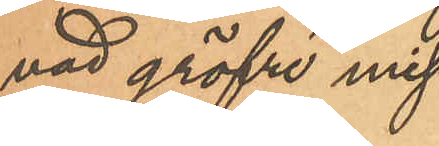vad gröfre miss¬
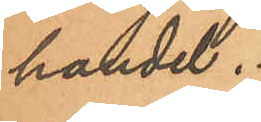handel.
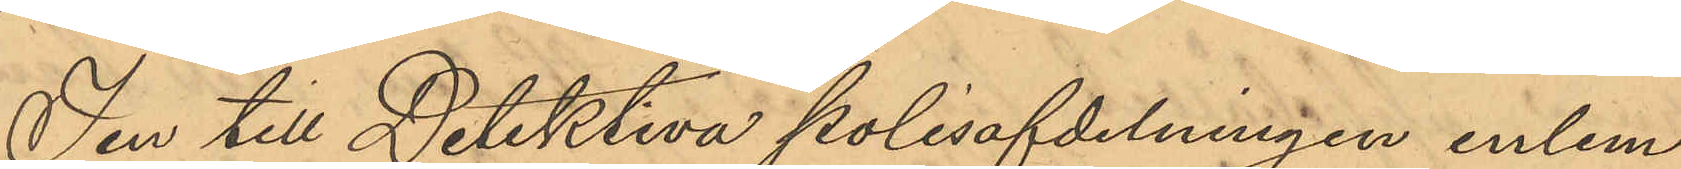I en till Detektiva polisafdelningen inlem¬
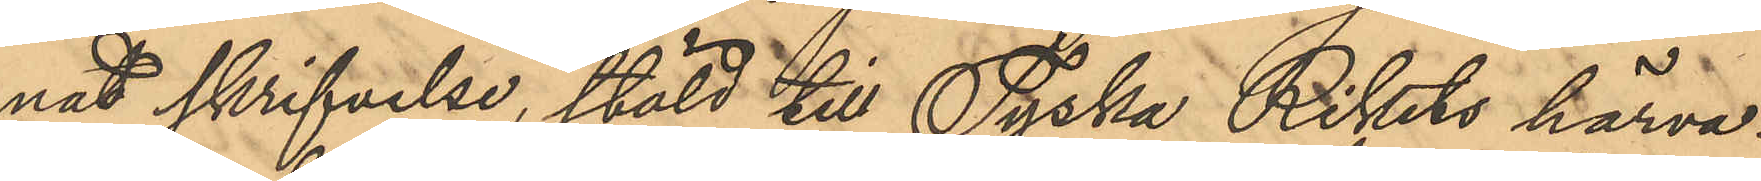nad skrifvelse, stäld till Tyska Rikets härva¬
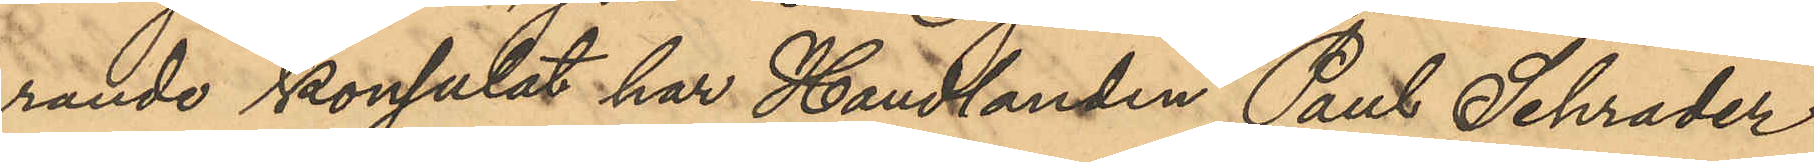rande konsulat har Handlanden Paul Schrader
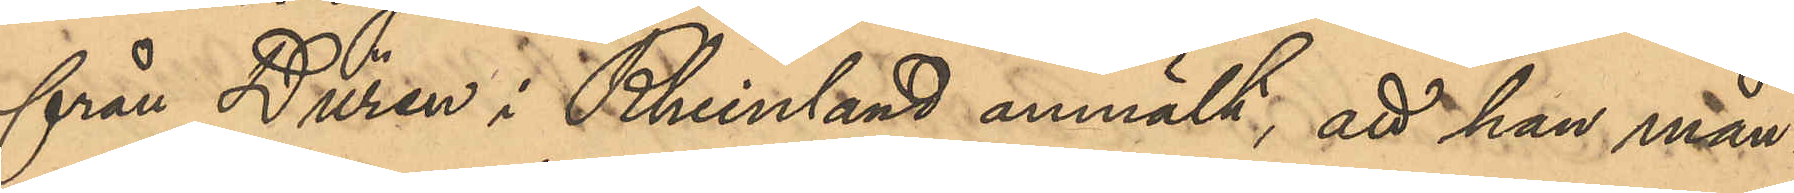från Düren i Reinland anmält, att han mån¬
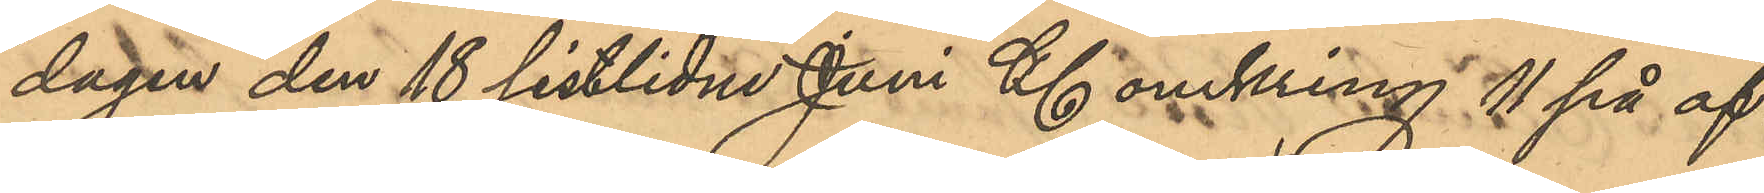dagen den 18 sistlidne Juni Kl omkring 11 på af¬
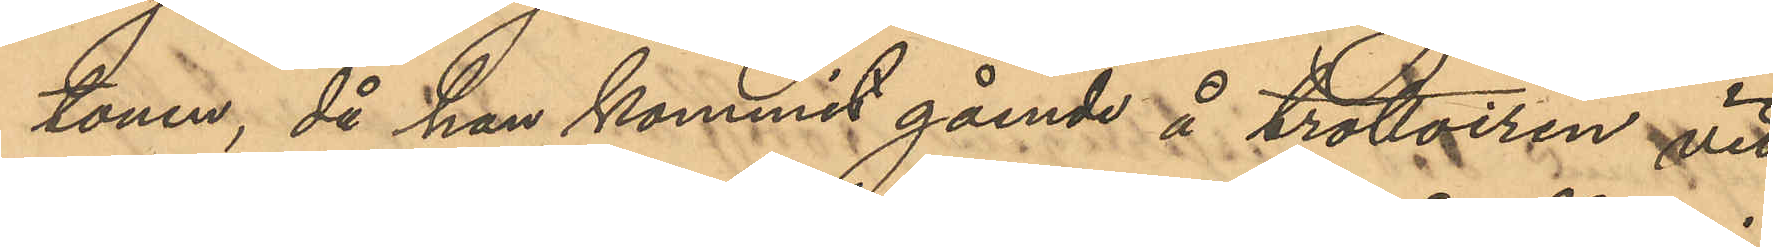tonen, då han kommit gående å trottoiren vid
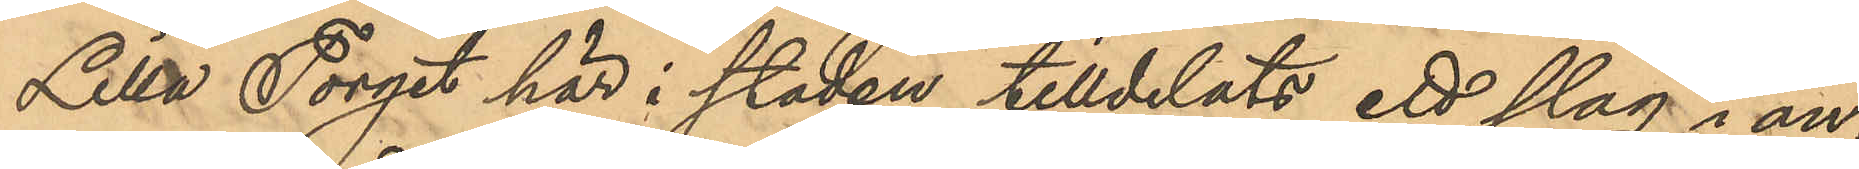Lilla Torget här i staden tilldelats ett slag i an¬
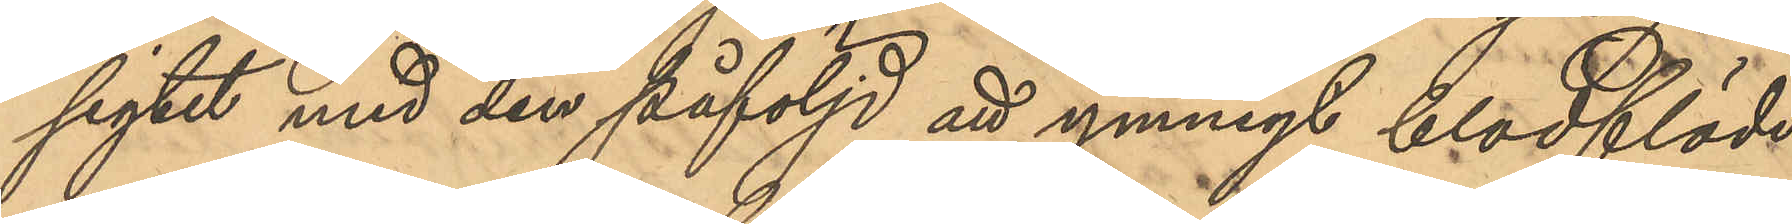sigtet med den påföljd att ymnigt blodflöde
